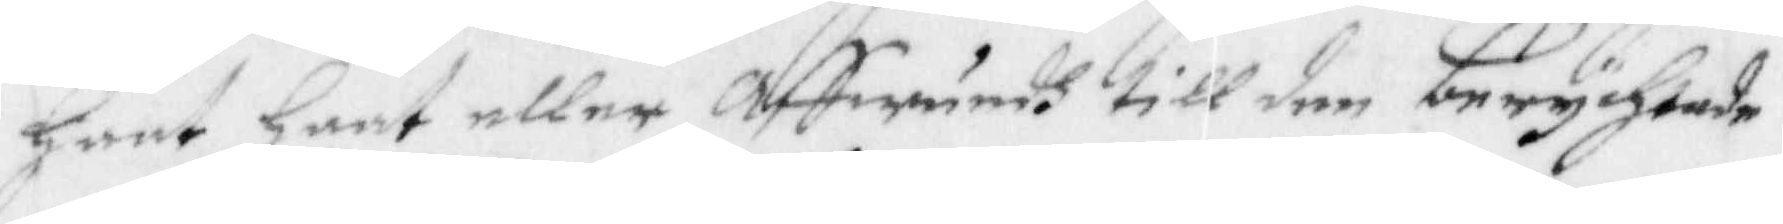haat haat eller affwundh till den berychtade
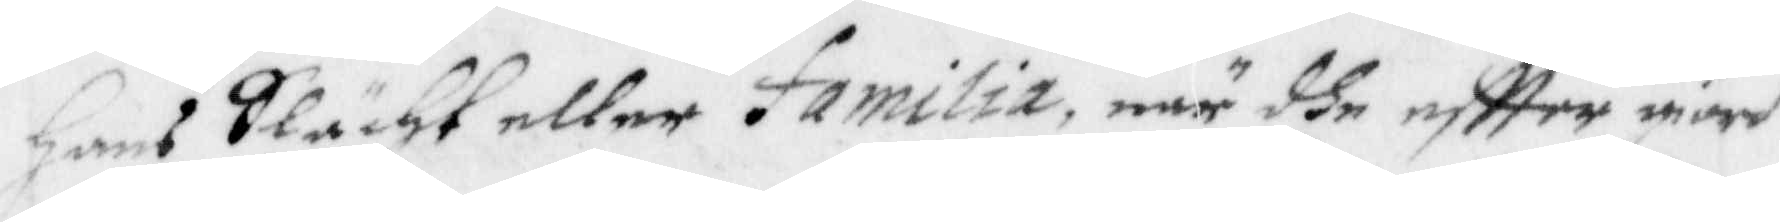hans Slächt eller familia, när dhe eftter giord
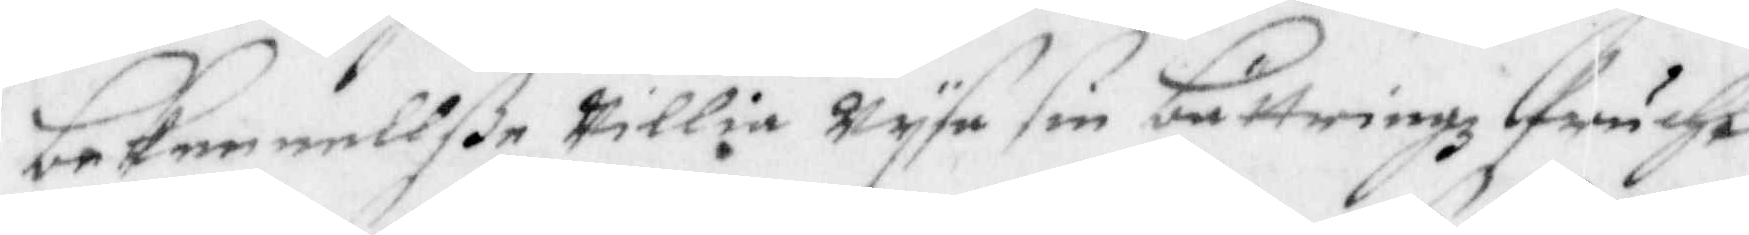bekennellße willia wysa sin bättringz frucht
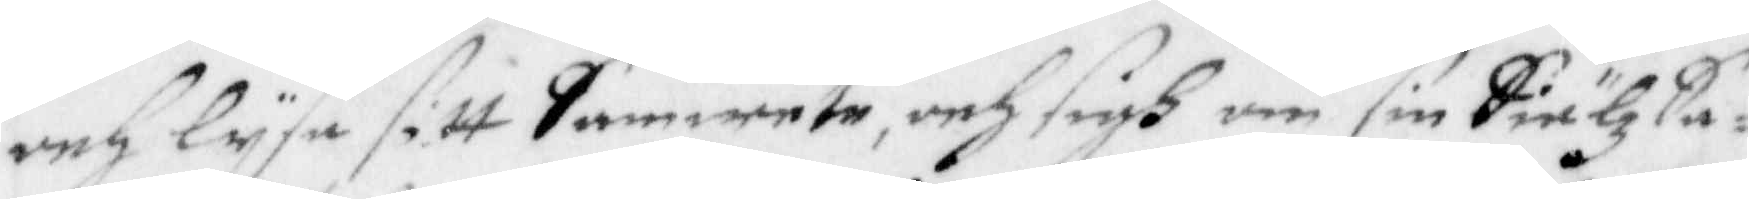och lysa sitt samwete, och sigh om sin siälz sa¬
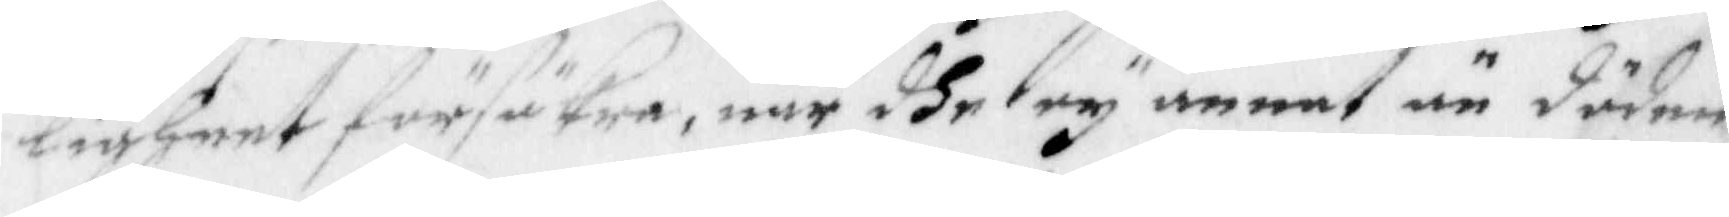ligheet försäkra, när dhe ey annat än döden
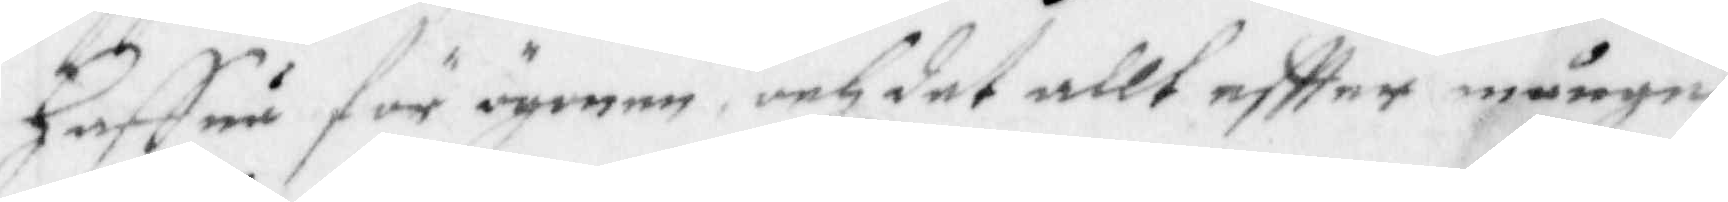haffua för ögonen och det allt eftter månge
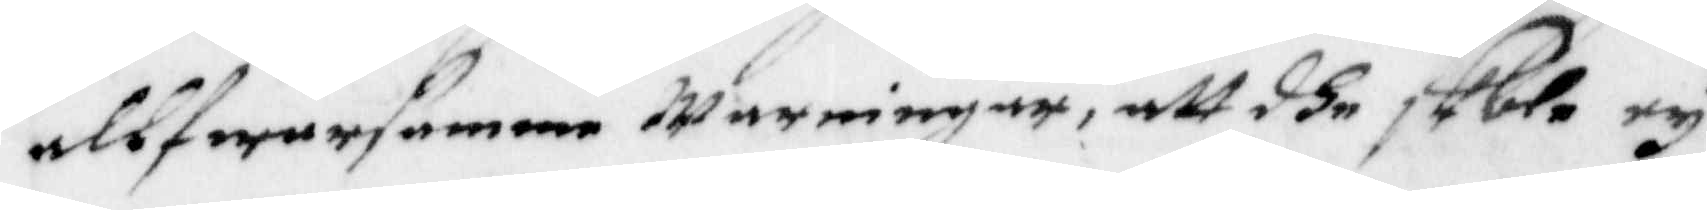allfwarsamme warningar, att dhe skola ey
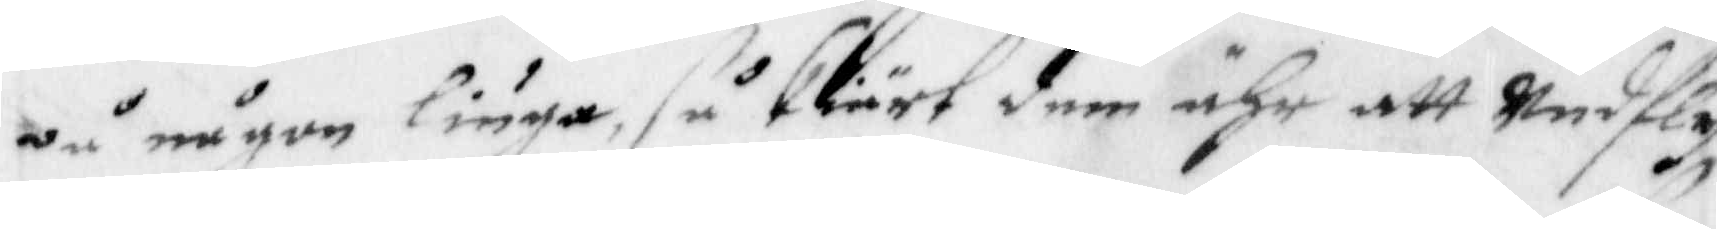på någon linga, så skiärt dem ähr att undfly
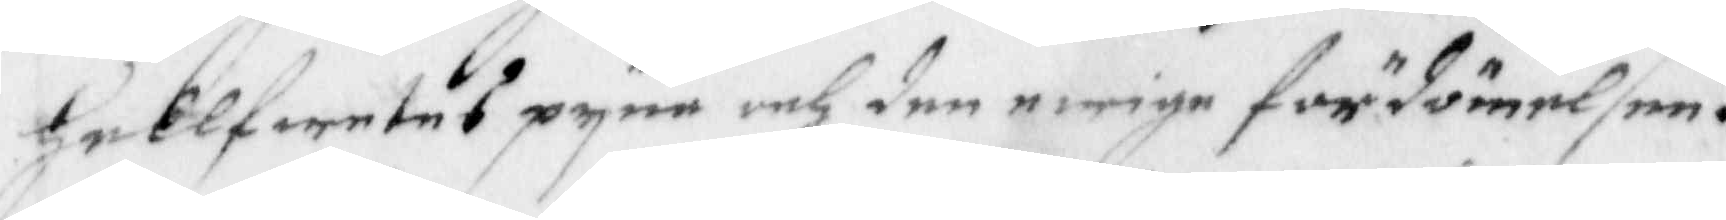hellfwetes pyna och den ewige fördömelsen.
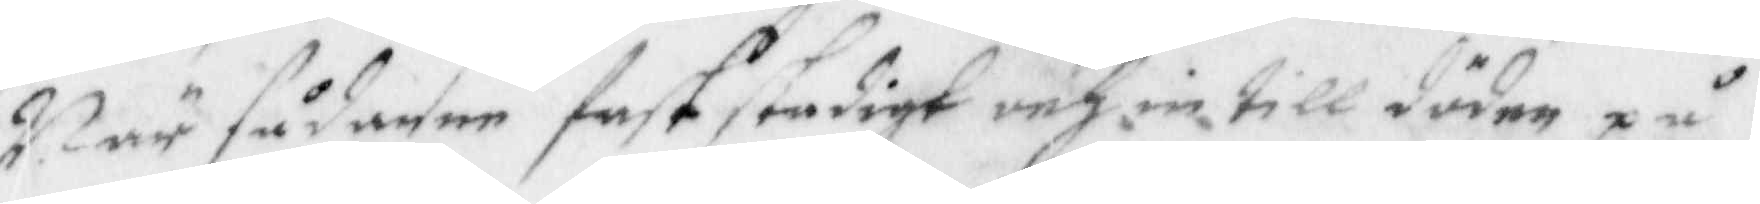Närsådnane faststadigt och in till döden på
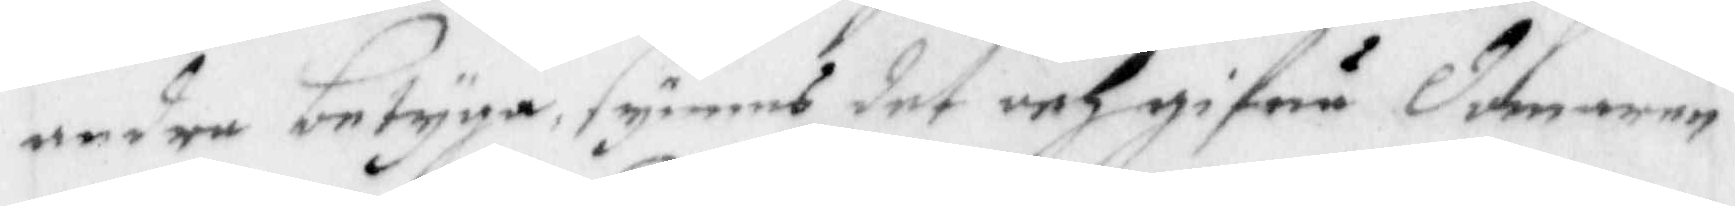andre betyga, synes det och gifua domaren
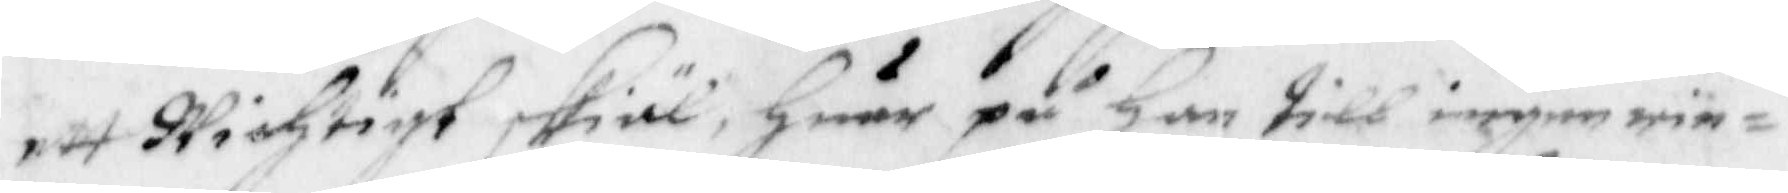ett wichtigt skiäl, huar på han till ingen rin¬
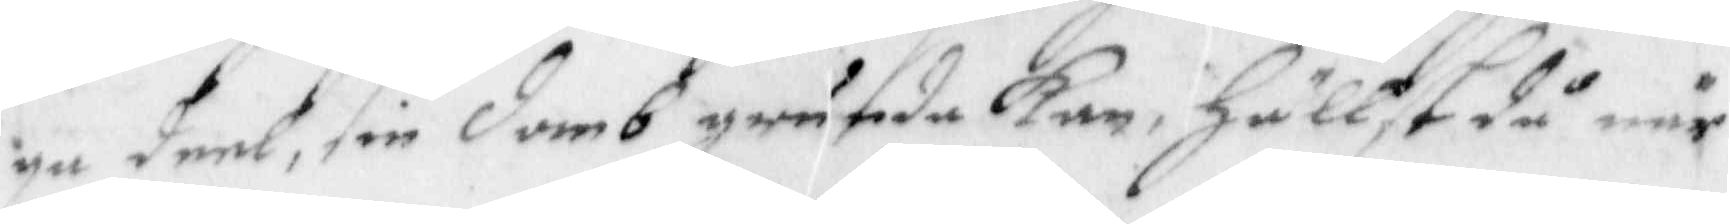ga deel, sin domb grunda kan, hällst då när
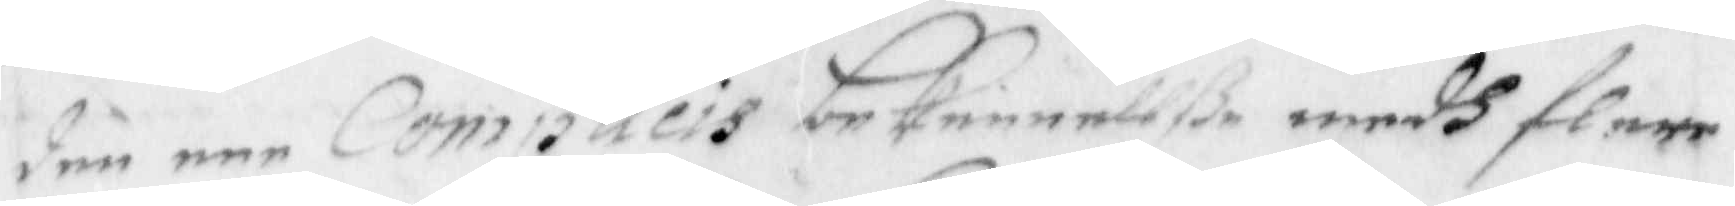den een complicis bekennellße medh flere
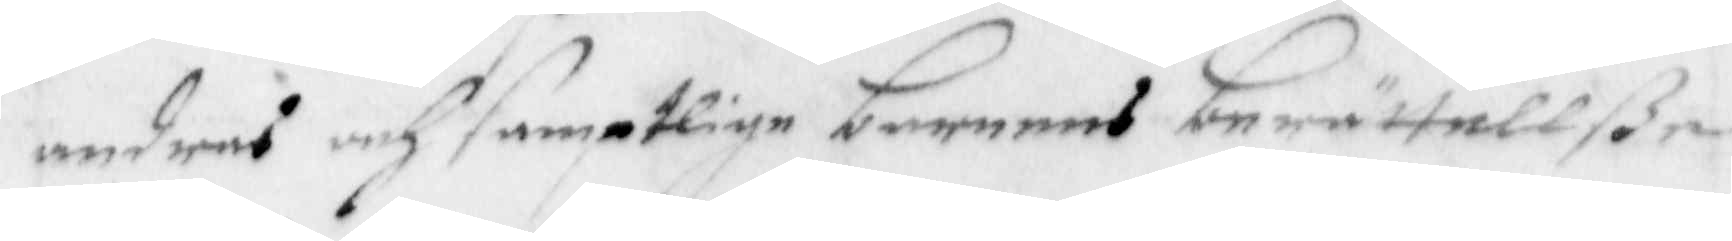andres och samptlige barnens berättellße
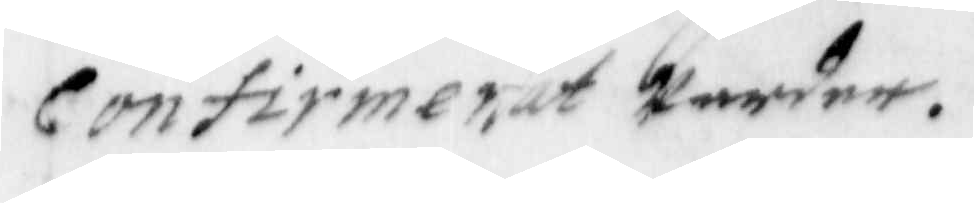confirmerat warder.
